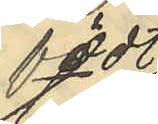födt
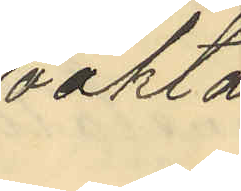oäkta
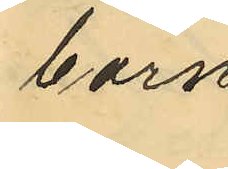barn.
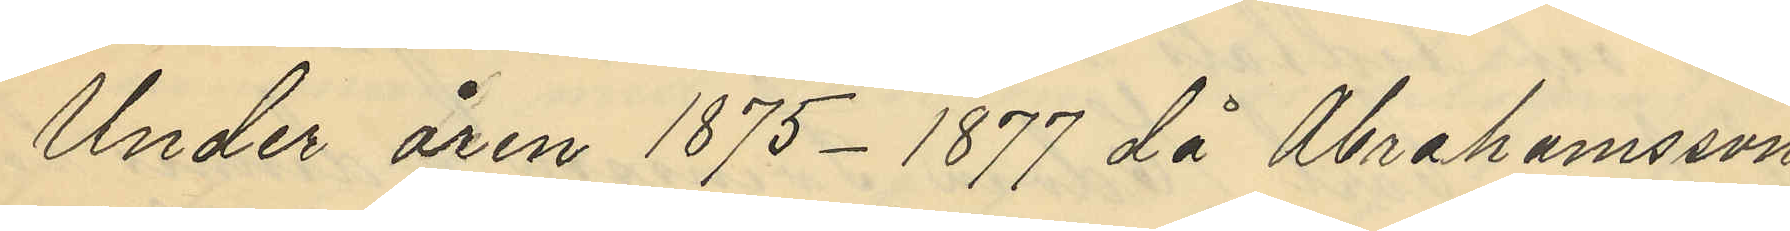Under åren 1875-1877 då Abrahamsson
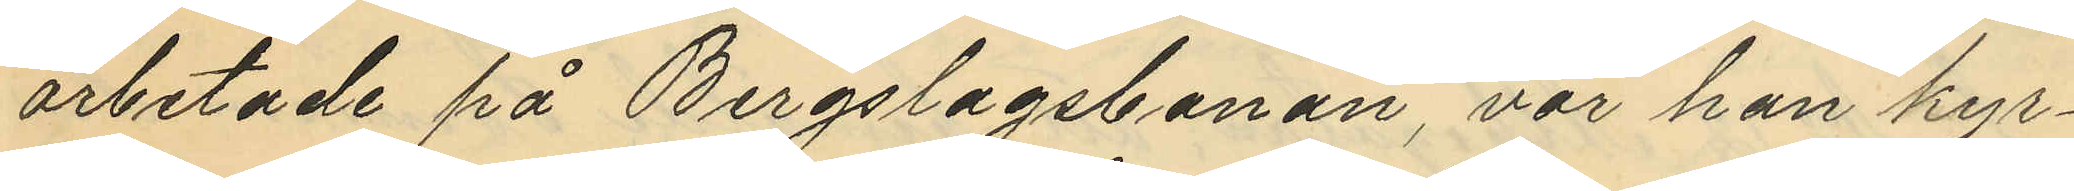arbetade på Bergslagsbanan, var han kyr¬
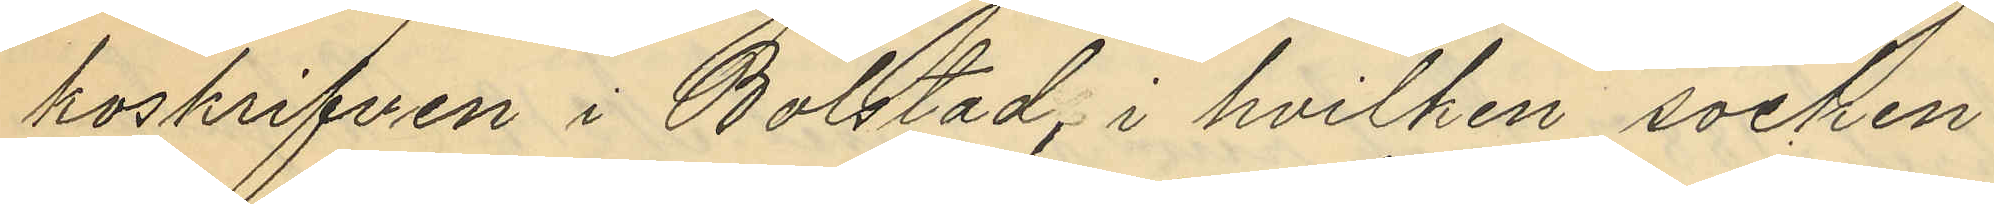koskrifven i Bolstad, i hvilken socken
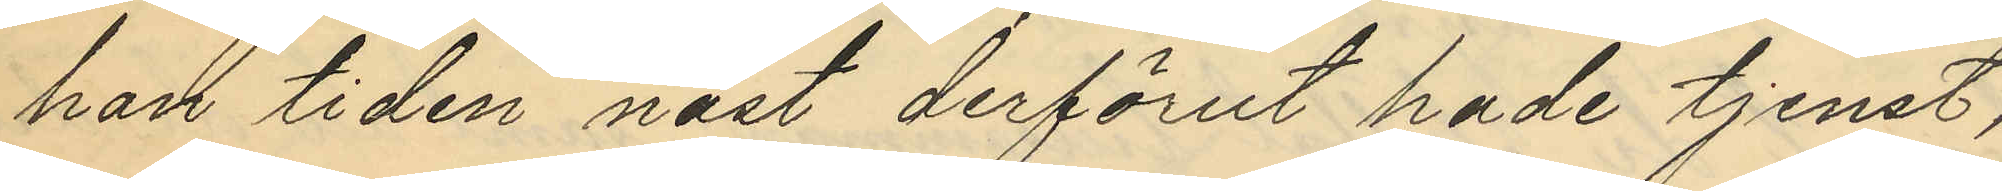han tiden näst derförut hade tjenst,
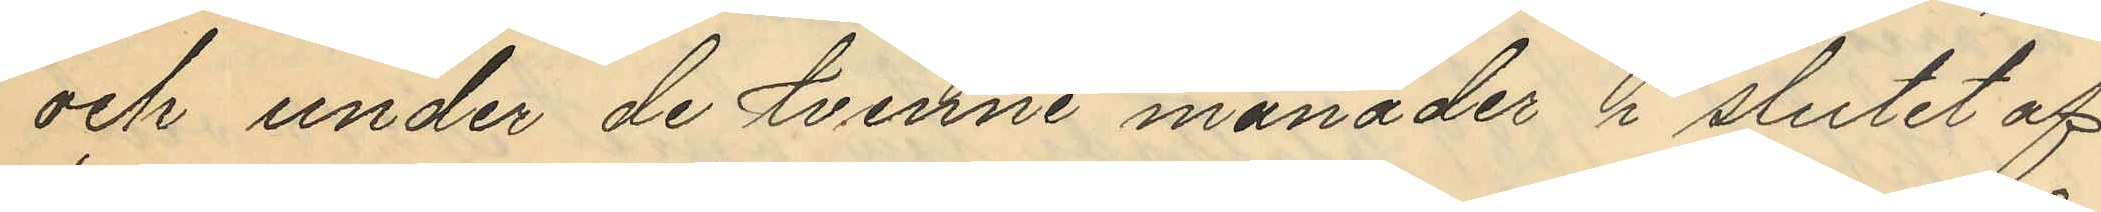och under de tvenne månader i slutet af
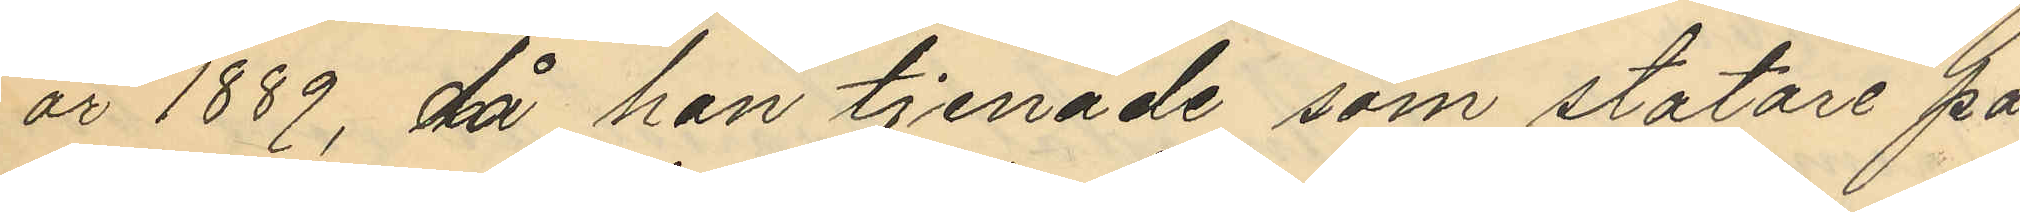år 1889, då han tjenade som statare på
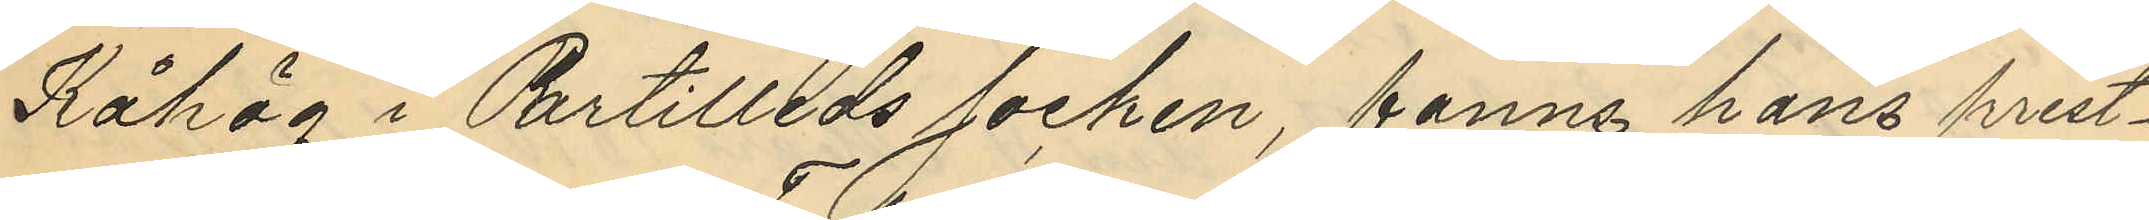Kåhög i Partilleds socken, fanns hans prest¬
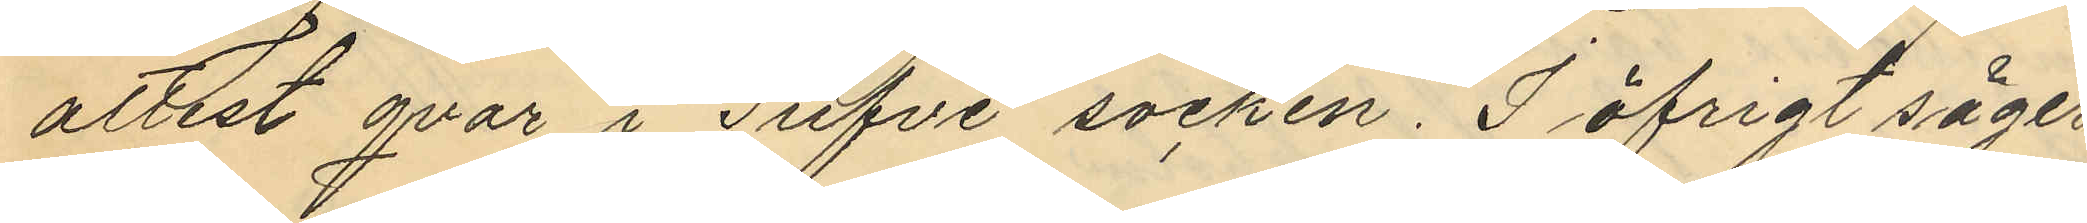attest qvar i Tufve socken. I öfrigt säger
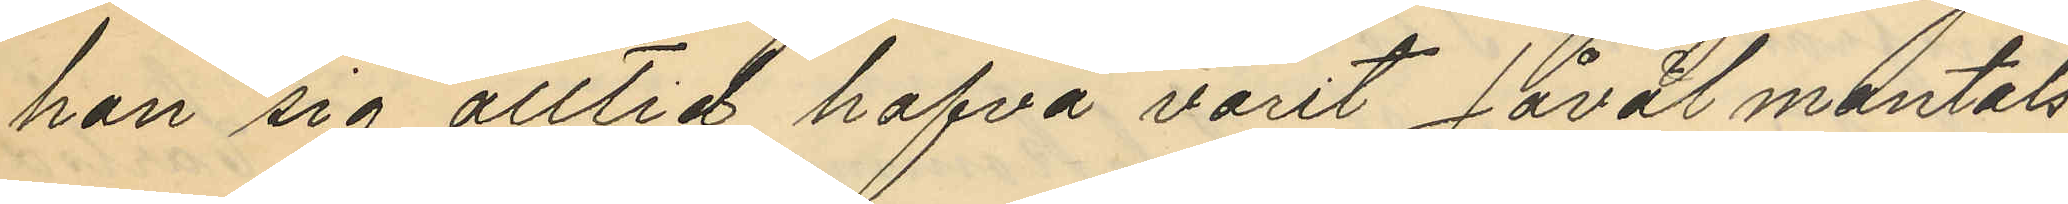han sig alltid hafva varit såväl mantals¬
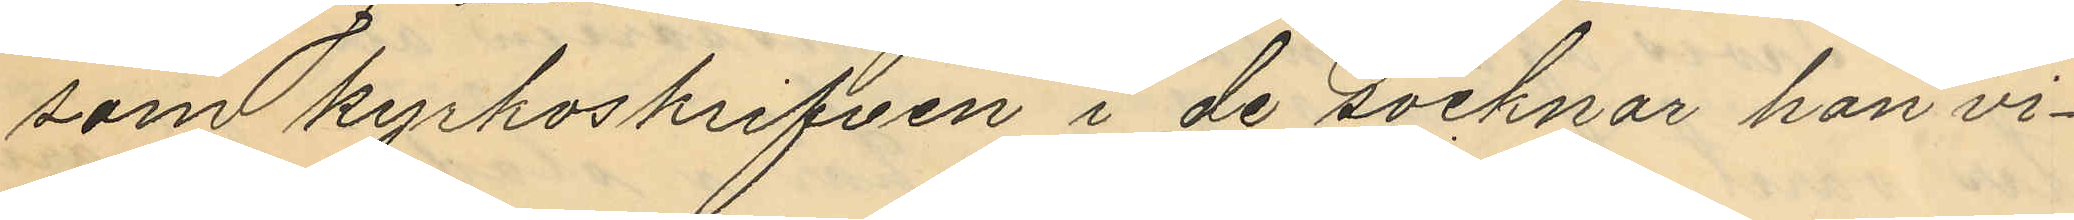som kyrkoskrifven i de socknar han vi¬
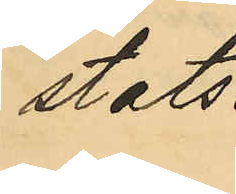stats.
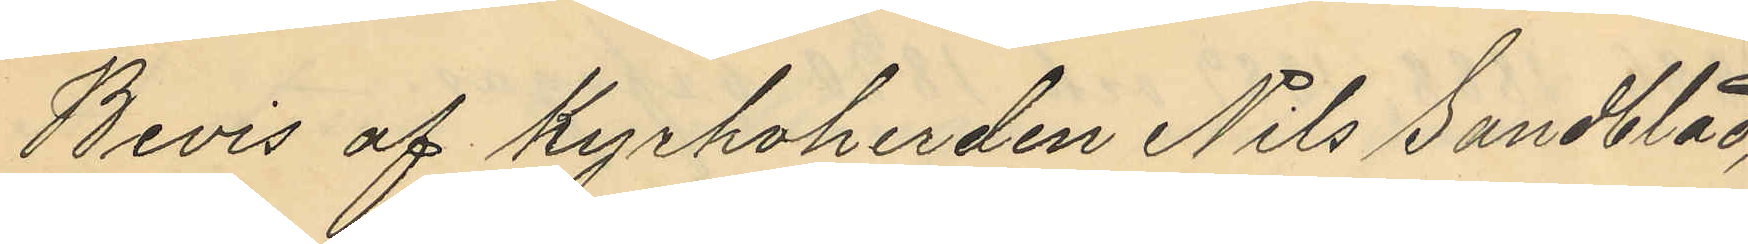Bevis af Kyrkoherden Nils Sandblad,
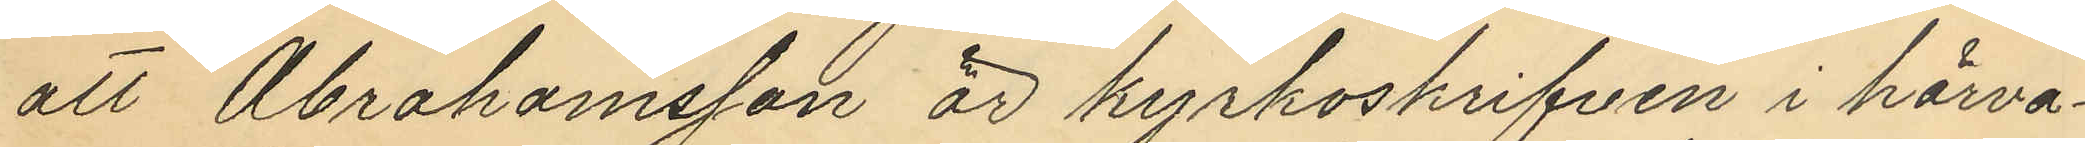att Abrahamsson är kyrkoskrifven i härva¬
